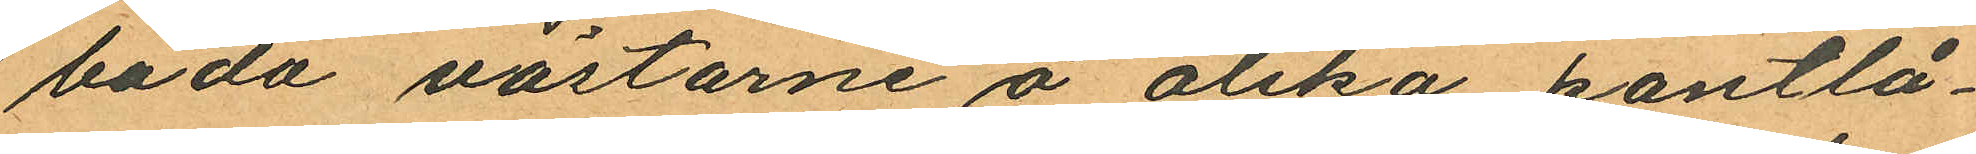båda västarne å olika pantlå¬
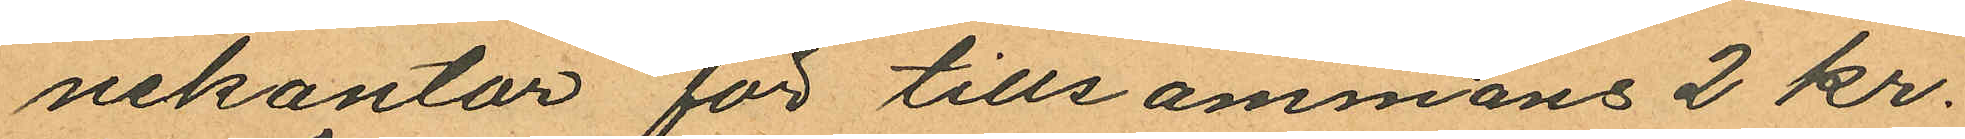nekontor för tillsammans 2 kr.
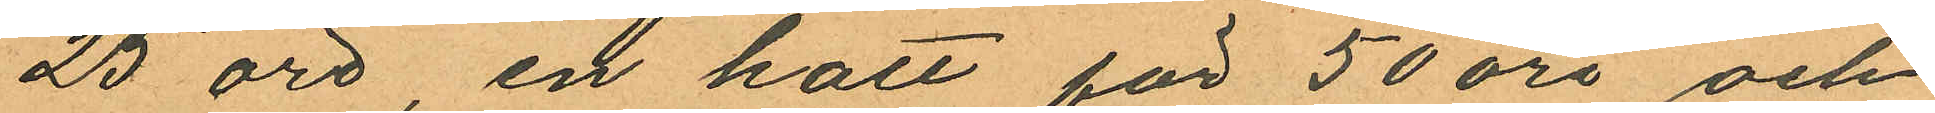25 öre, en hatt för 50 öre och
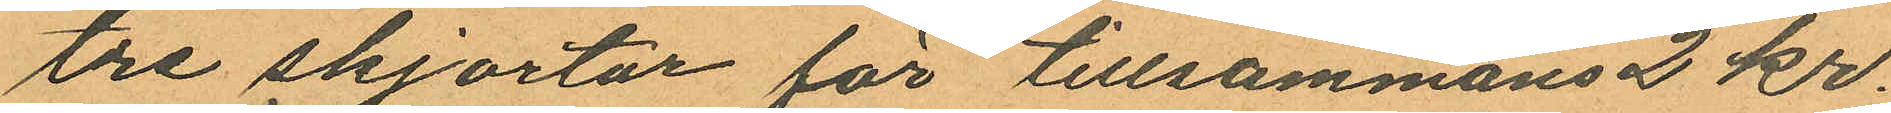tre skjortor för tillsammans 2 kr.
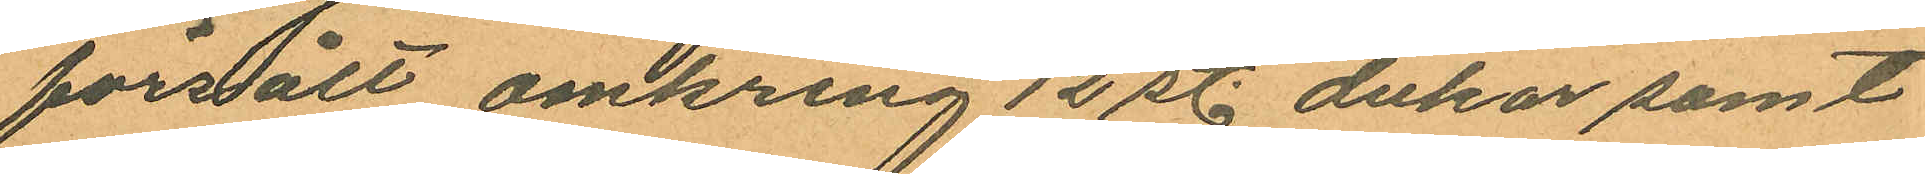försålt omkring 12 st. dukar samt
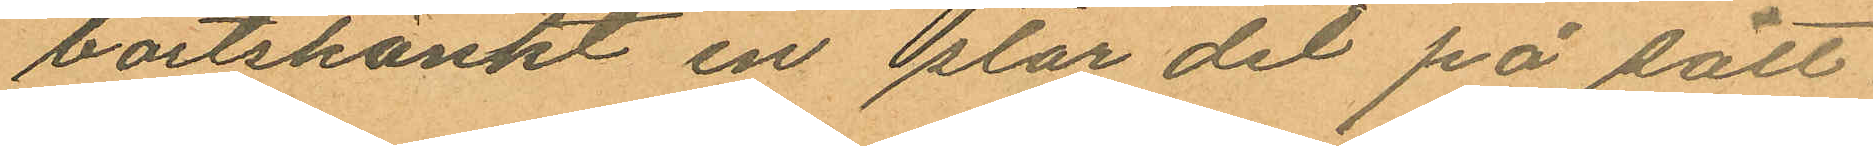bortskänkt en stor del på sätt
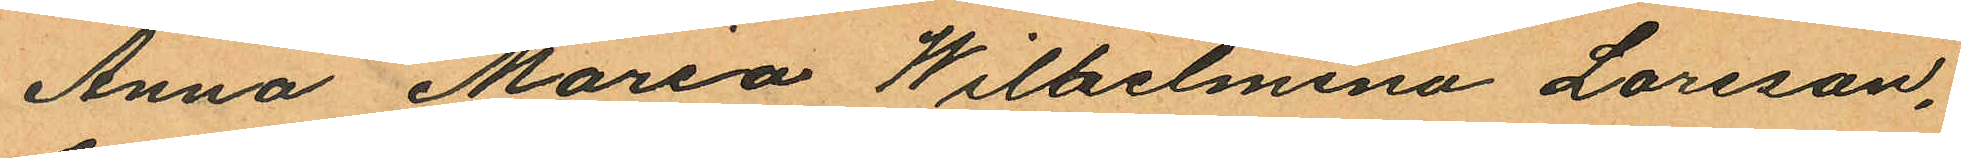Anna Maria Wilhelmina Larsson,
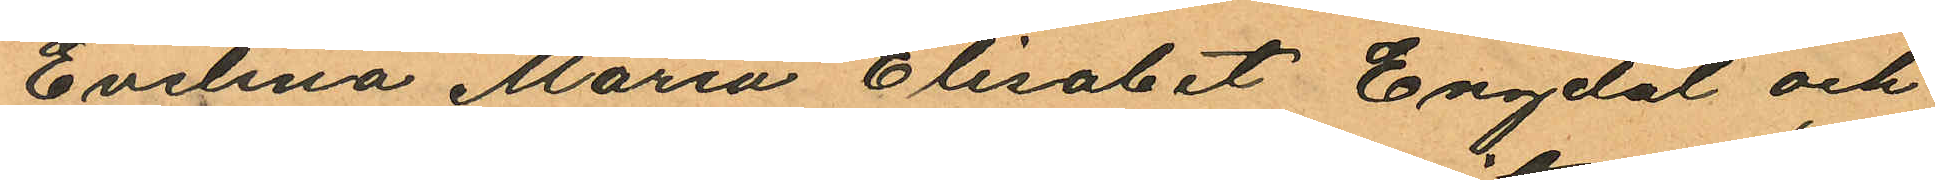Evelina Maria Elisabet Engdal och
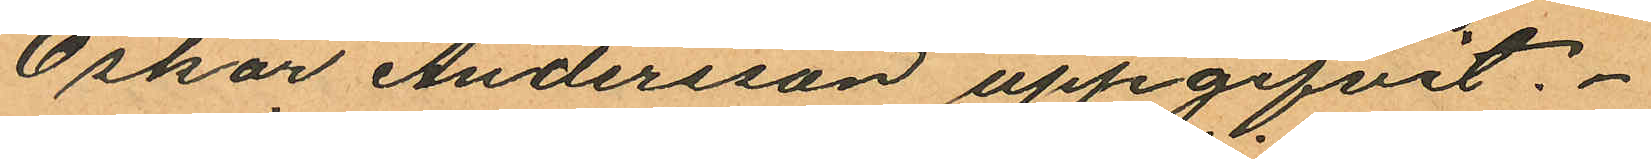Oskar Andersson uppgifvit.
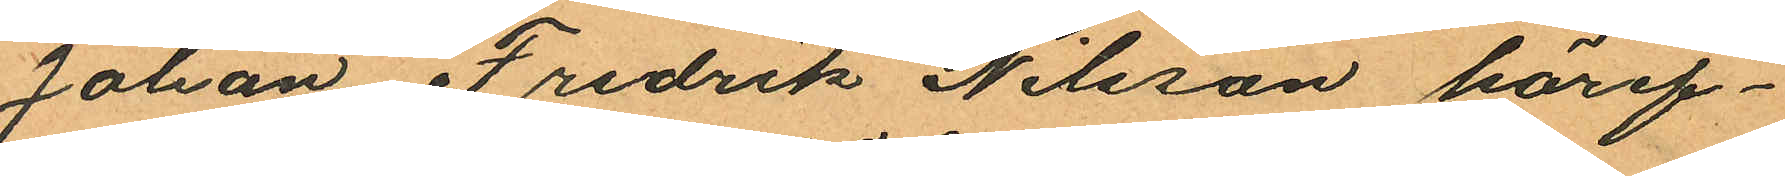Johan Fredrik Nilsson häref¬
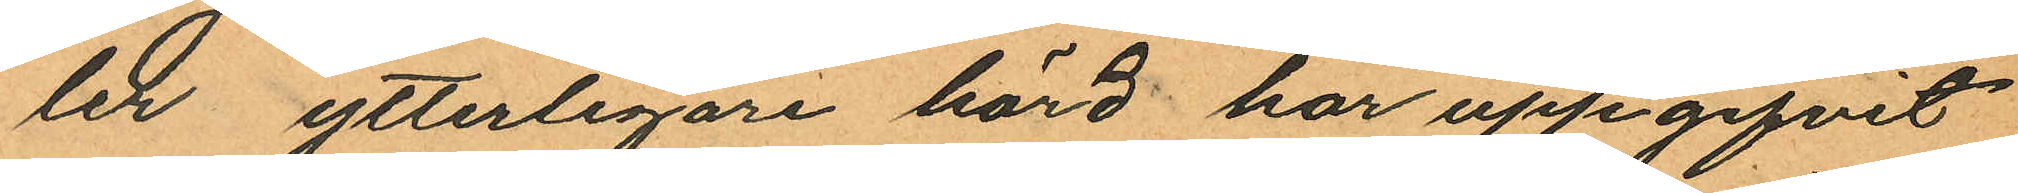ler, ytterligare hörd har uppgifvit
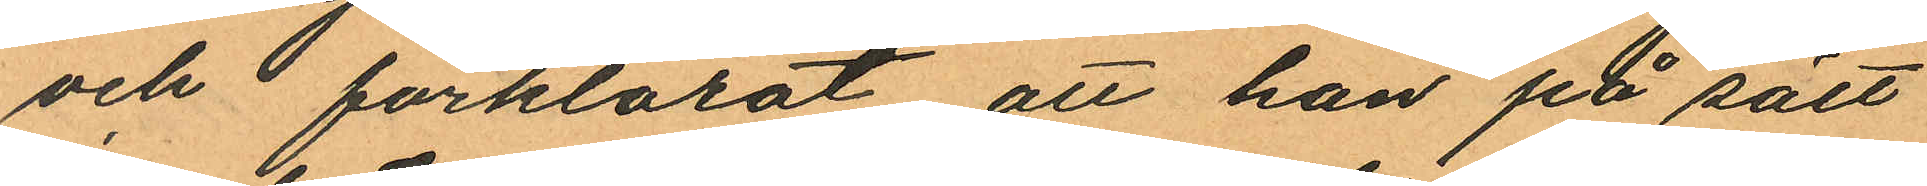och förklarat, att han på sätt
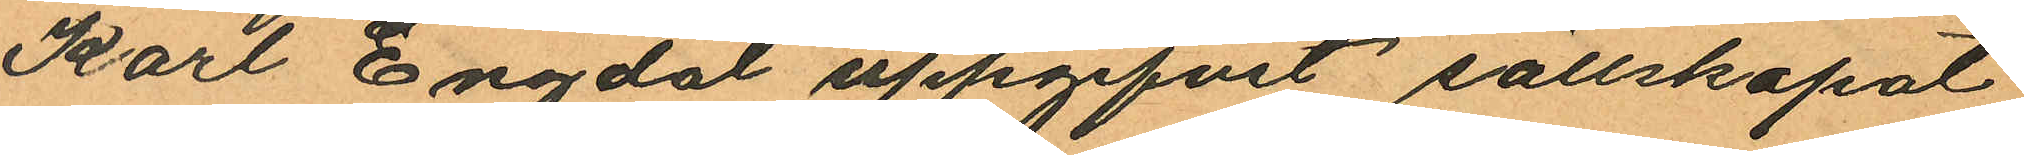Karl Engdal uppgifvit sällskapat
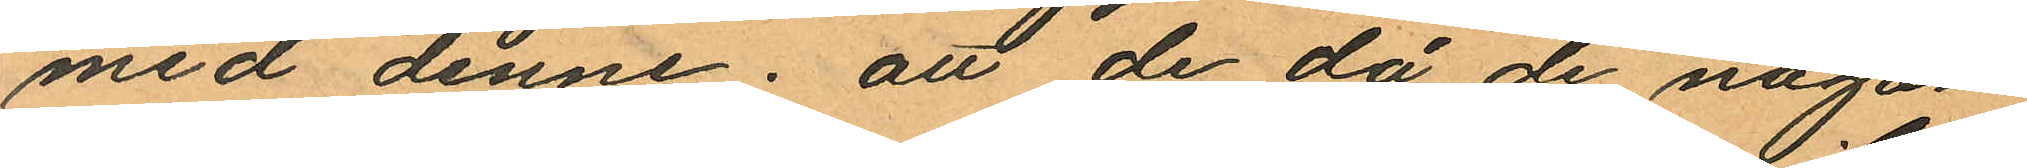med denne; att de, då de någon
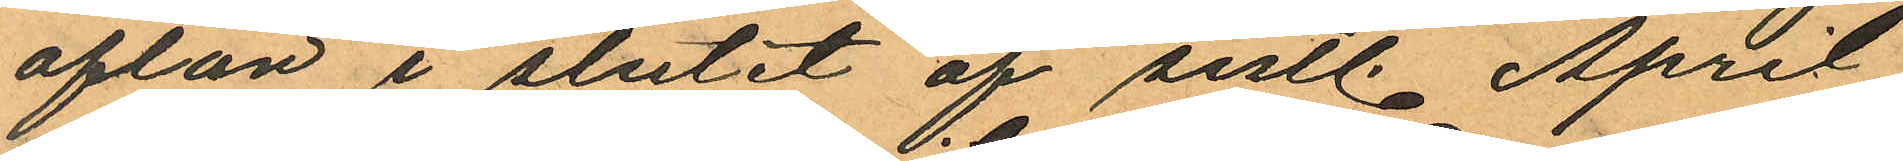afton i slutet af sistl April
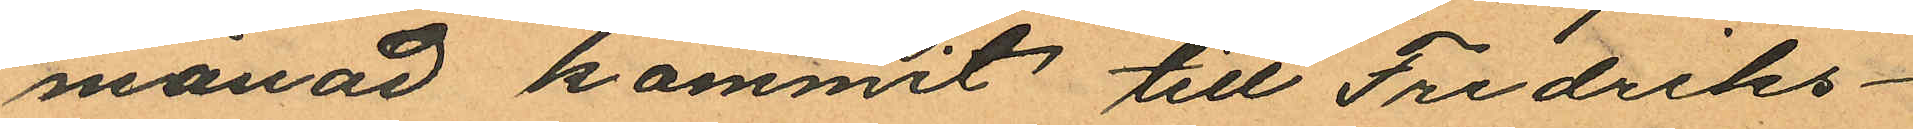månad kommit till Fredriks¬
